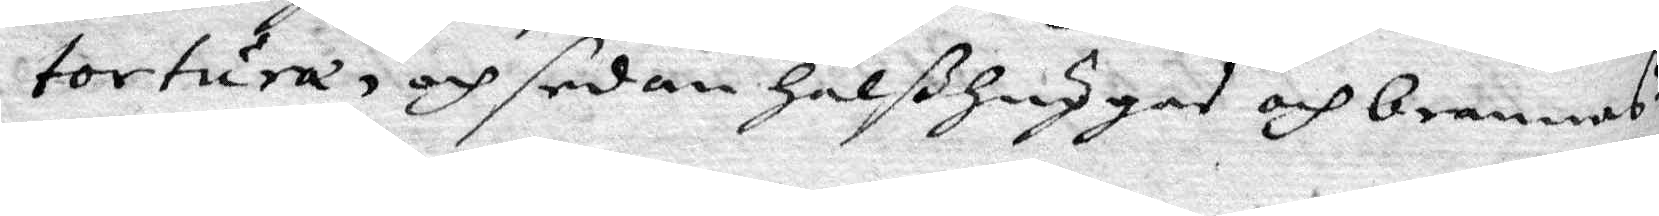tortura, och sedan halßhuggas och brennas?
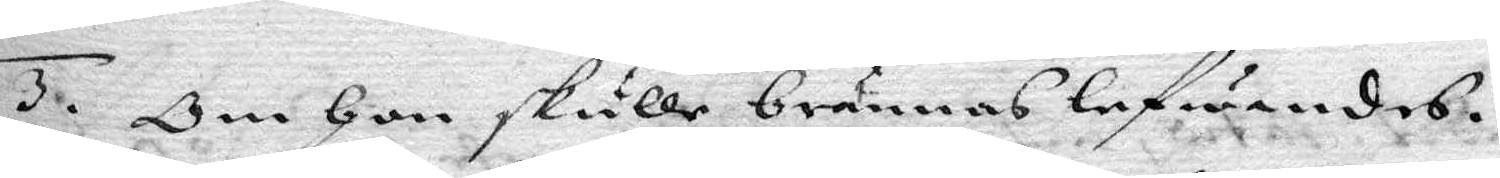3. Om hon skulle brännas lefwandes.
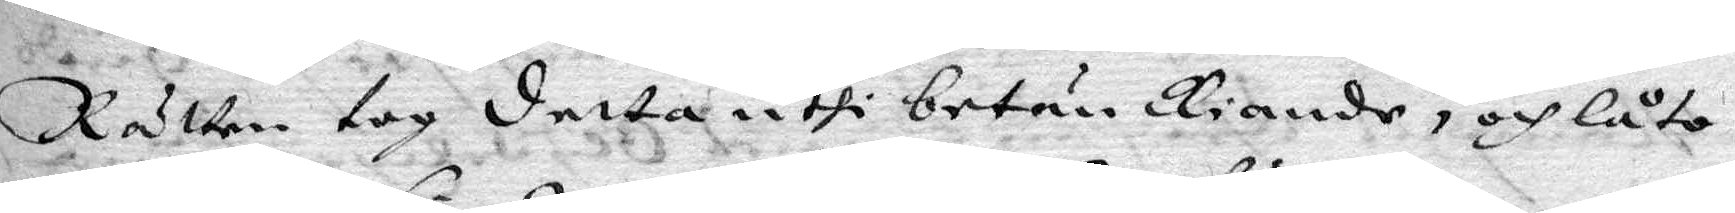Rätten tog detta uthi betänkiande, och låto
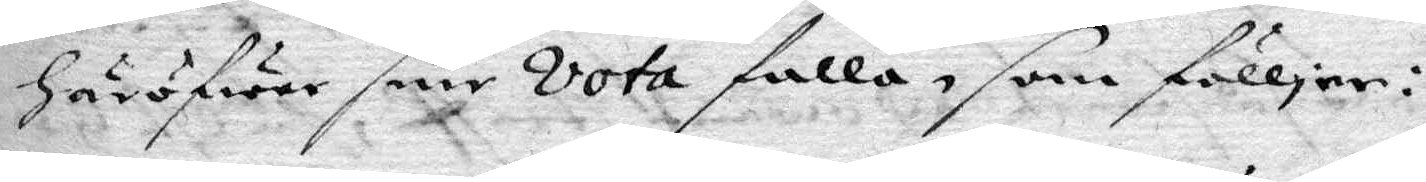häröfwer sine Vota falla, som fölljer:
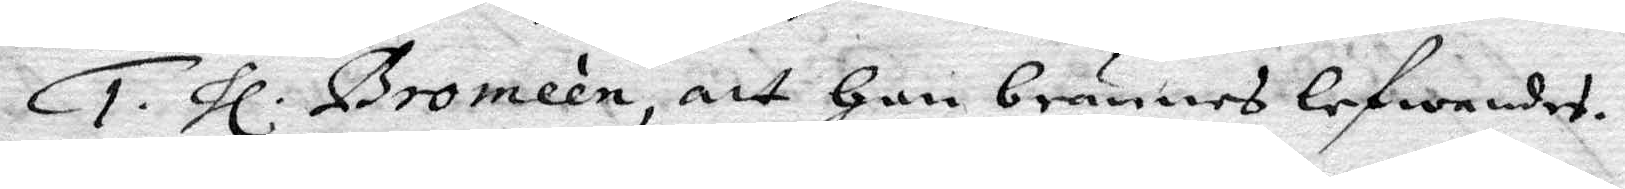1. hl. Bromeén, att hon brännes lefwandes.
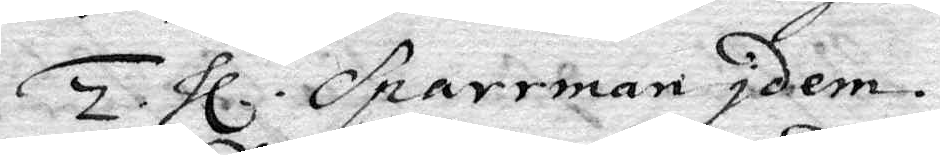2. hl. Sparrman Idem.
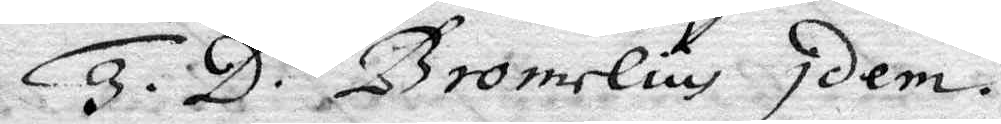3. D. Bromelius Idem.
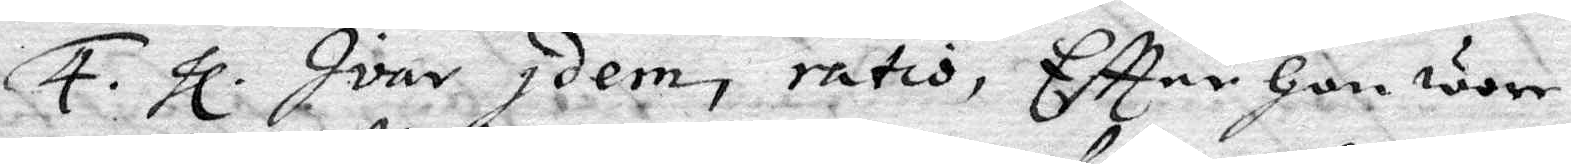4. hl. Ivar Idem, ratis, Eftter hon wore
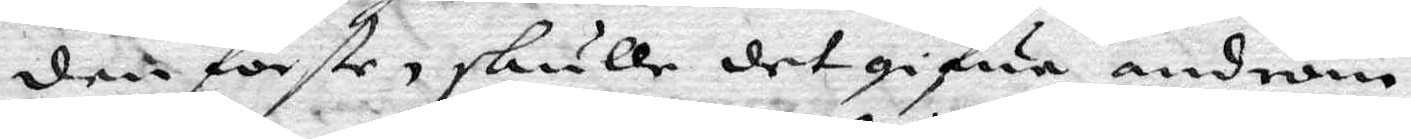den förste, skulle det gifwa androm
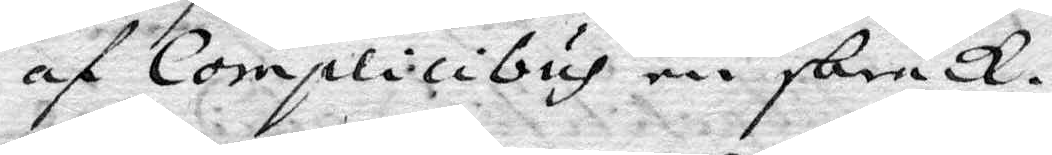af Complicibus en skräck.
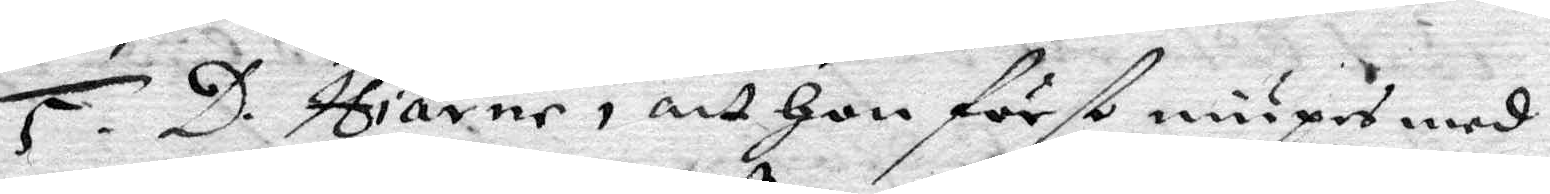5. D. Hiärne, att hon först niupes med
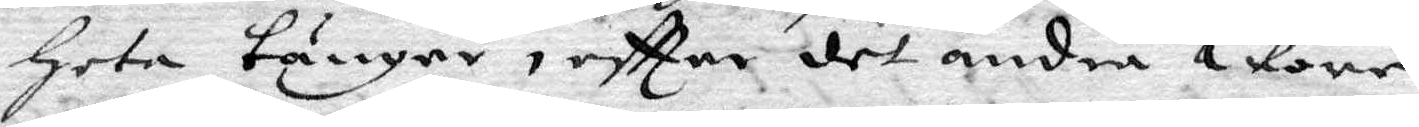heta tänger, eftter det andra wore
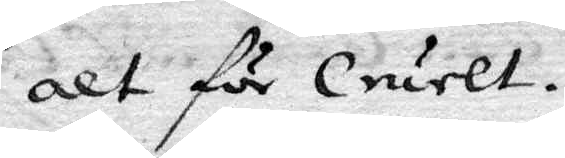alt för Cruelt.
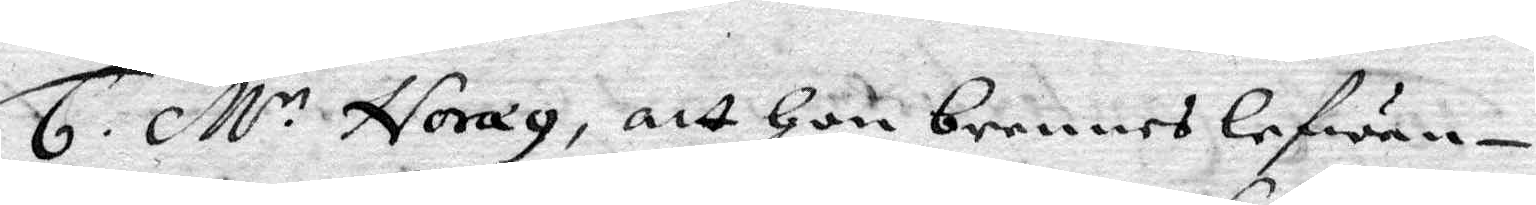6. M.r Noræy, att hon brennes lefwan¬
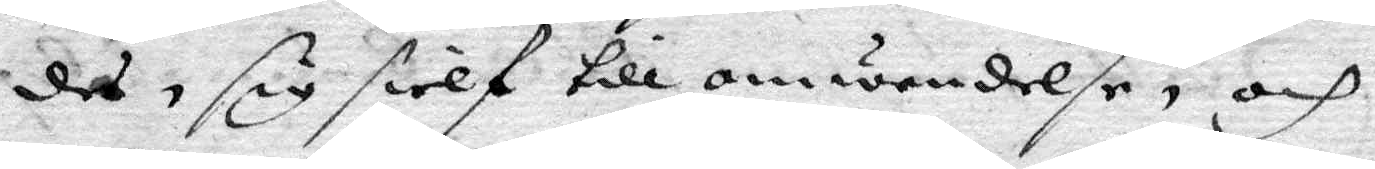des, sig sielf till omwändelse, och
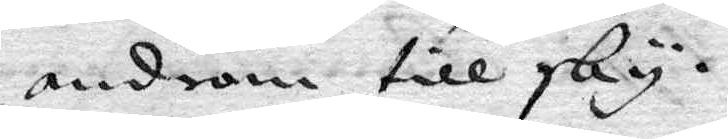androm till sky.
